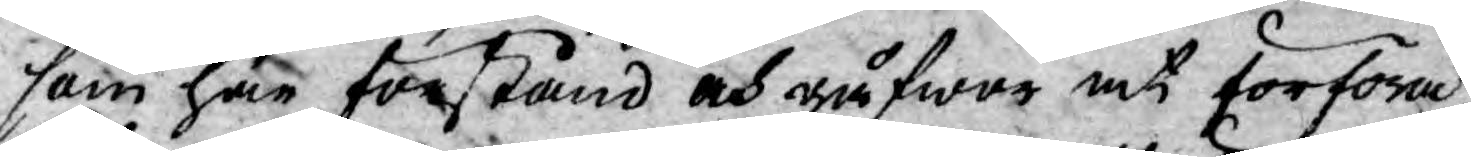som här förstånd och gåfwor at förföra,
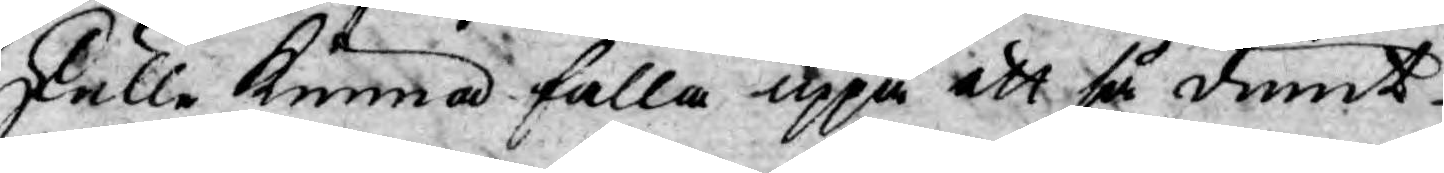skulle kunna falla uppå ett så dumt
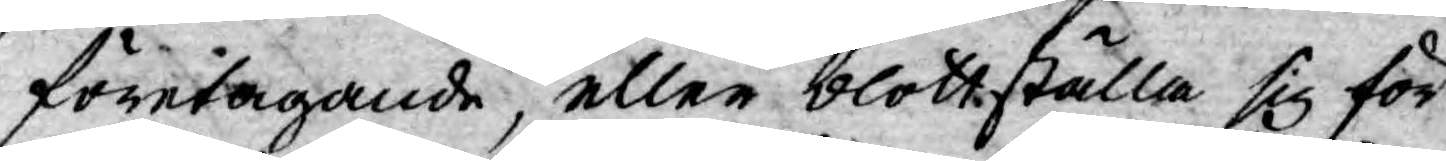företagande, eller blottställa sig för
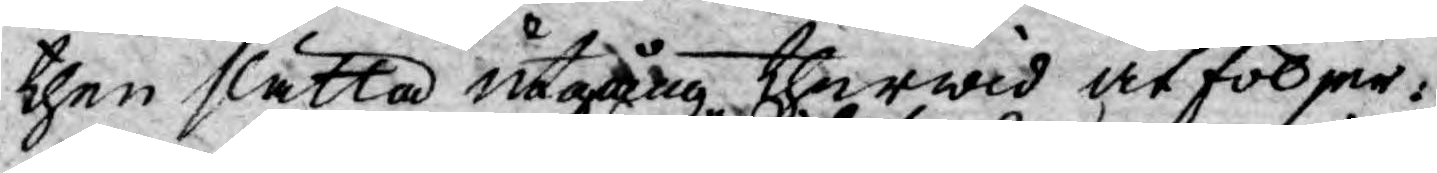then slätta utgång therwid åtföljer:
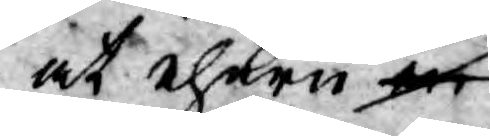at ehuru en
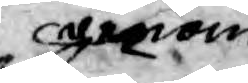genom
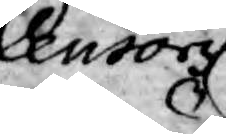Censorz
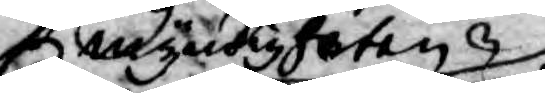myndigheten
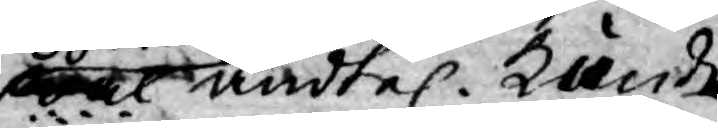wäl ändtel. kunde
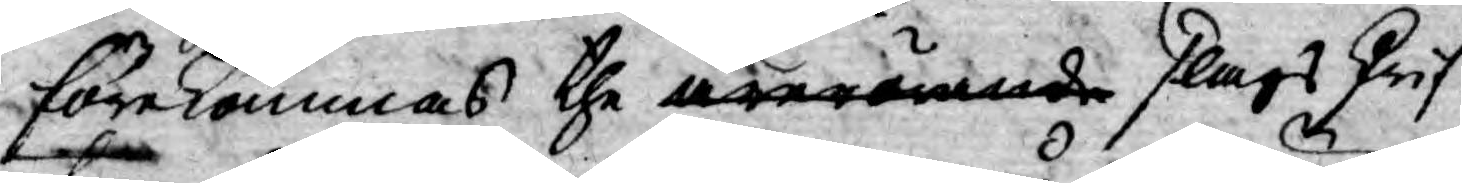förekommas the ärerörande slags Skrif¬
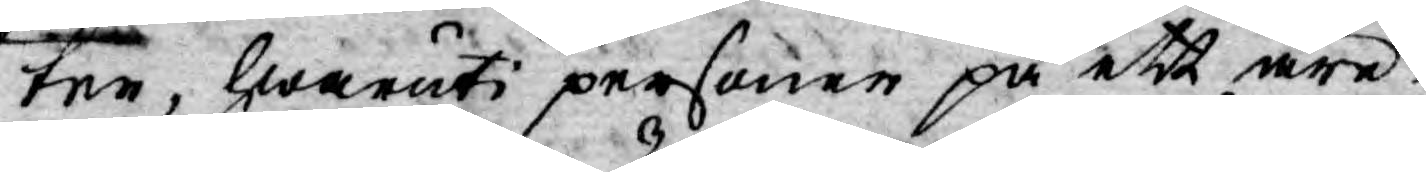ter, hwaruti personer på ett äre¬
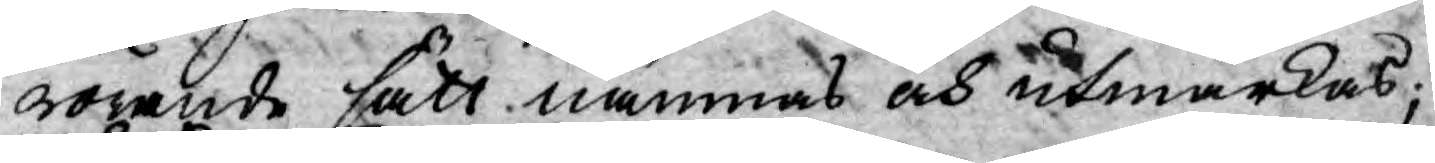rörande sätt nämnas och utmärkas;
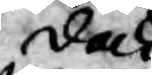dock
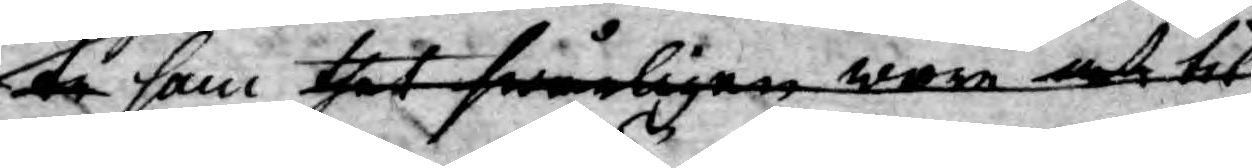men de som thet swårligen wara at til
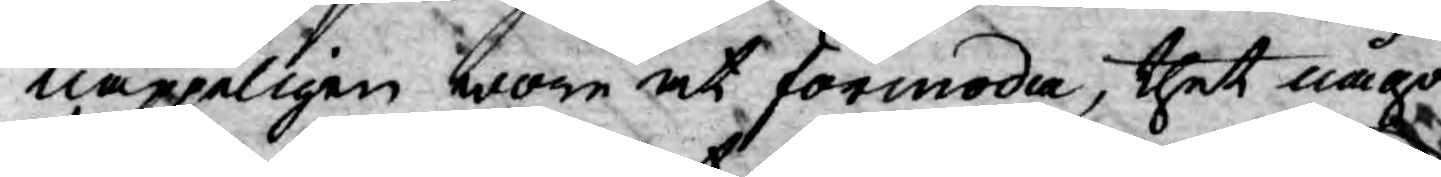näppeligen wore at förmoda, thet någon
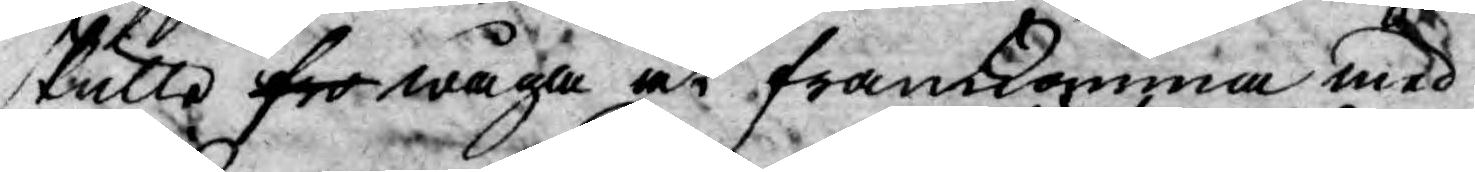skulle fro wåga at framkomma med
